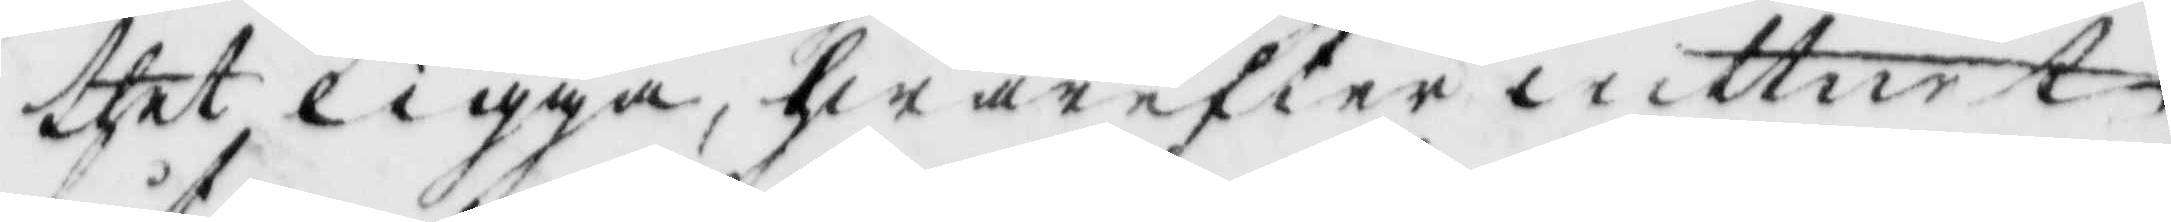thet ligga, hwarefter wittnet
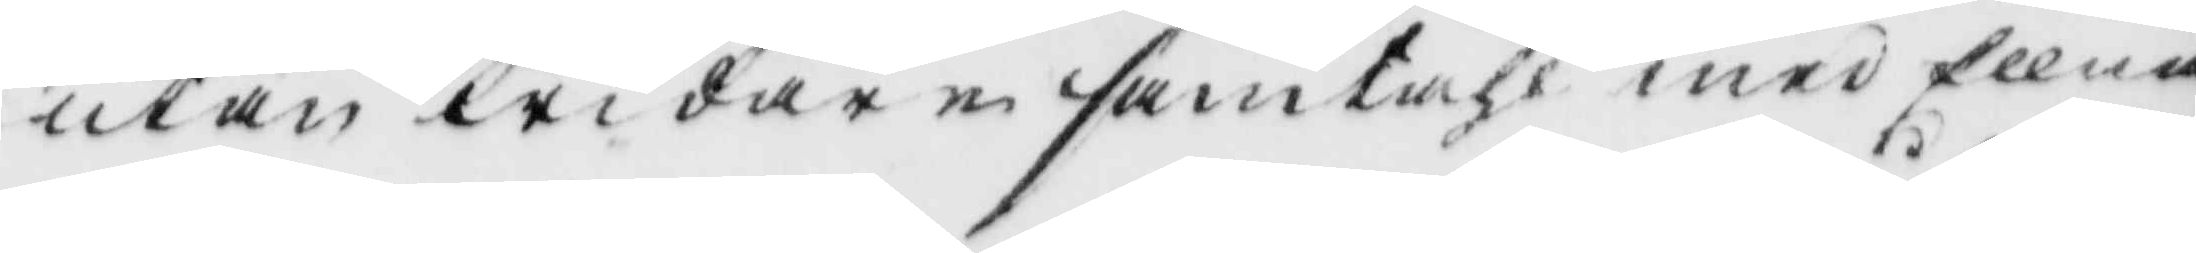utan widare samtahl med Ellna
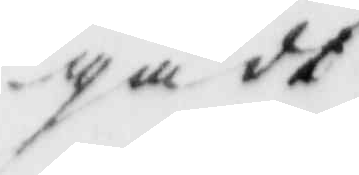gådt
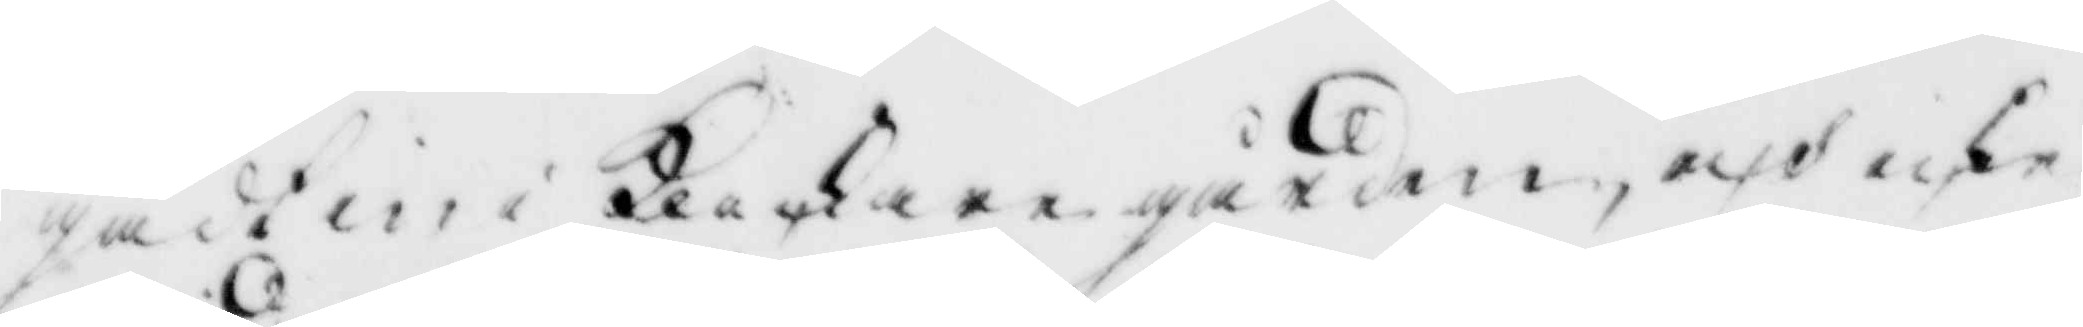gådt in i Klockaregården, och icke
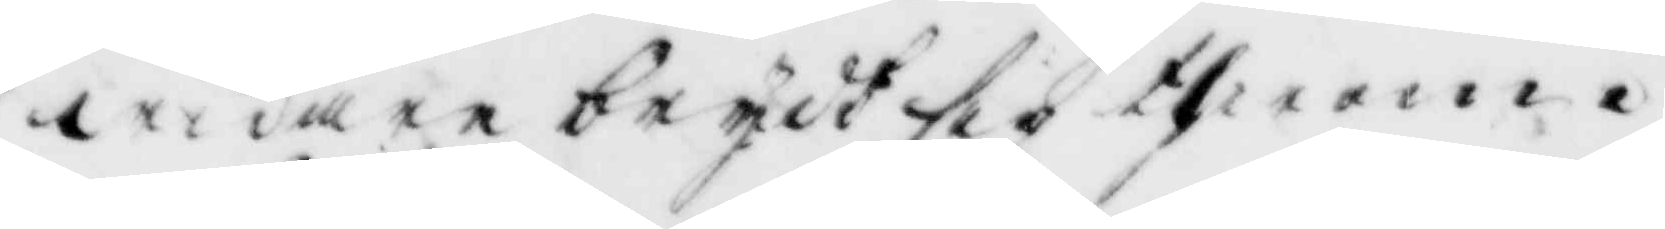widare brydt sig therom.
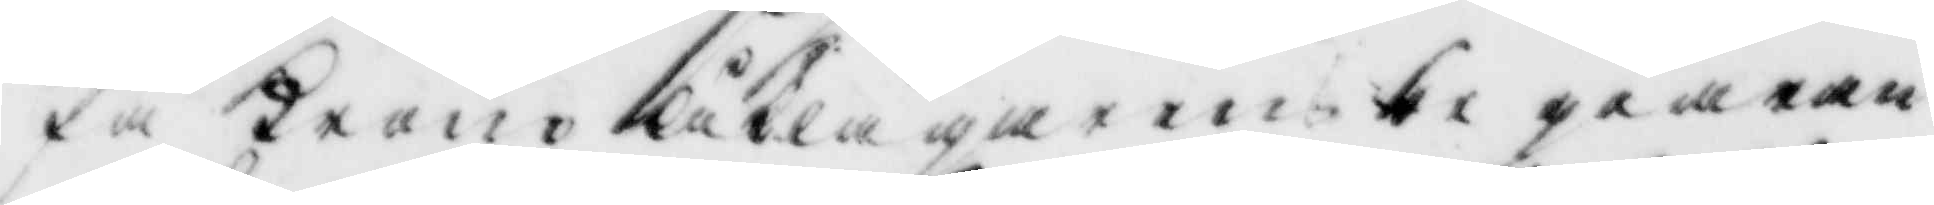På Kronoåklagarens begiäran
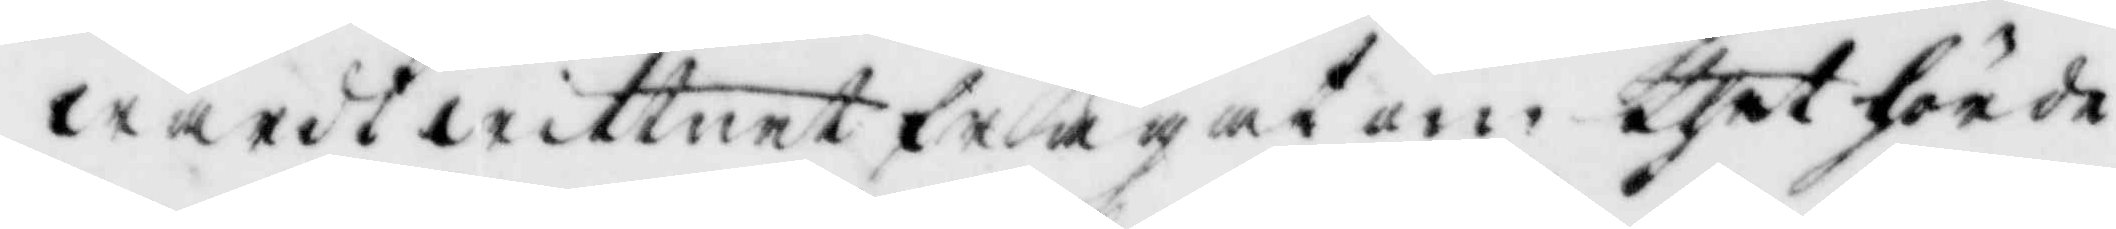wardt wittnet frågat om thet hörde
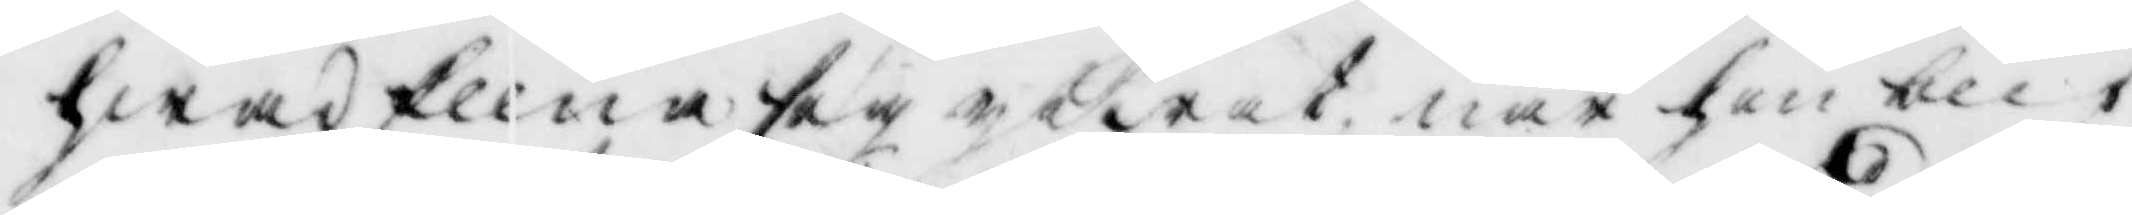hwad Ellna sig yttrat när hon blif¬
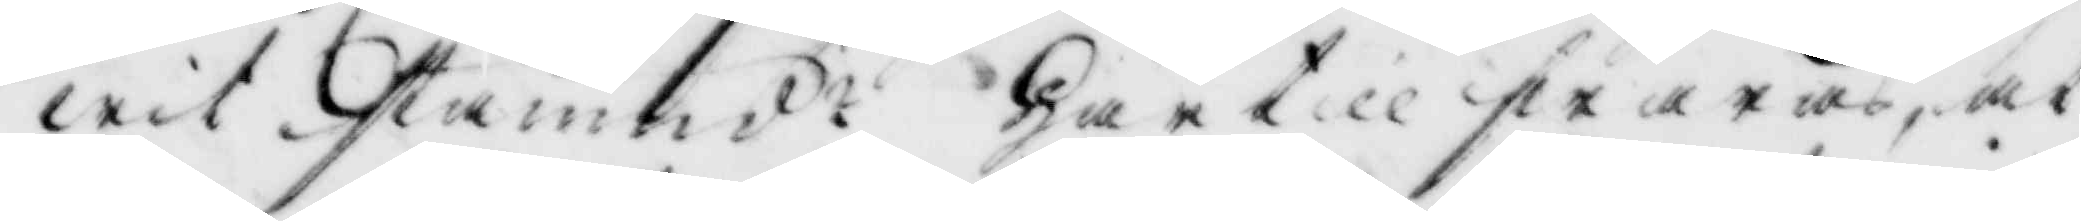wit stämd? Här till swaras, at
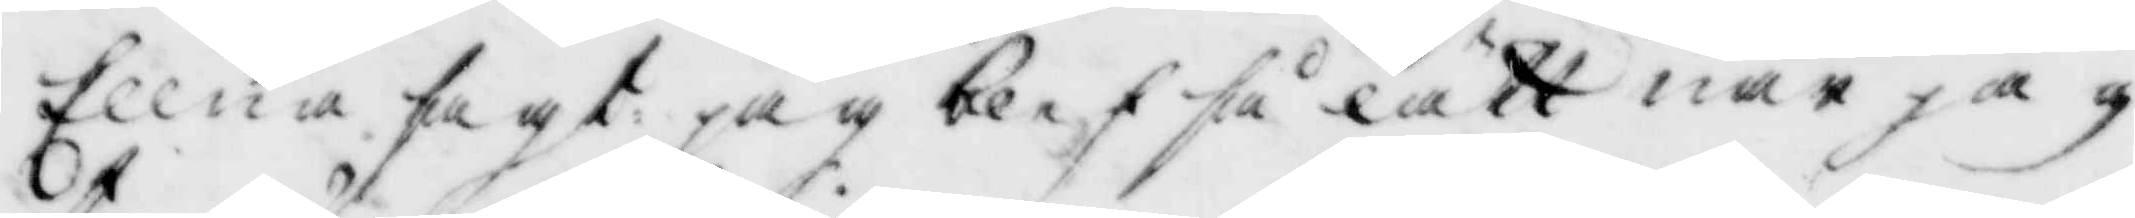Ellna sagt: jag blef så lätt när jag
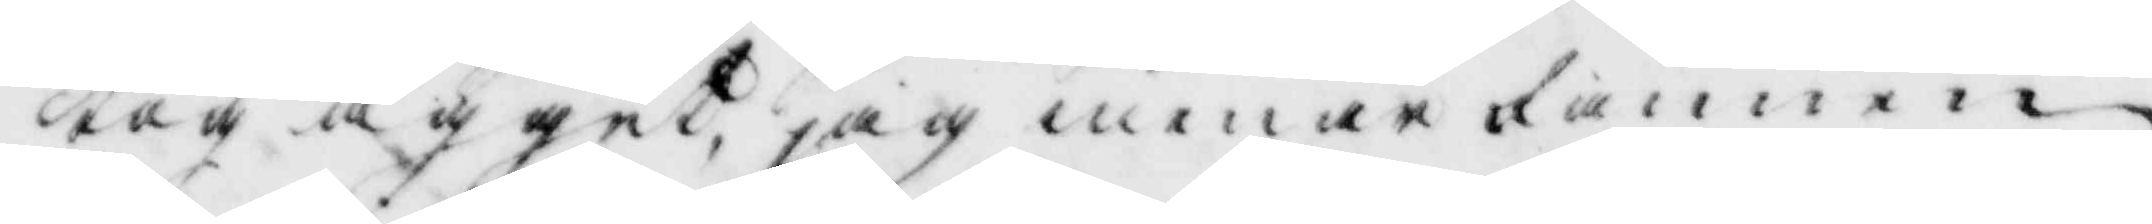tog ägget, jag menar fannen
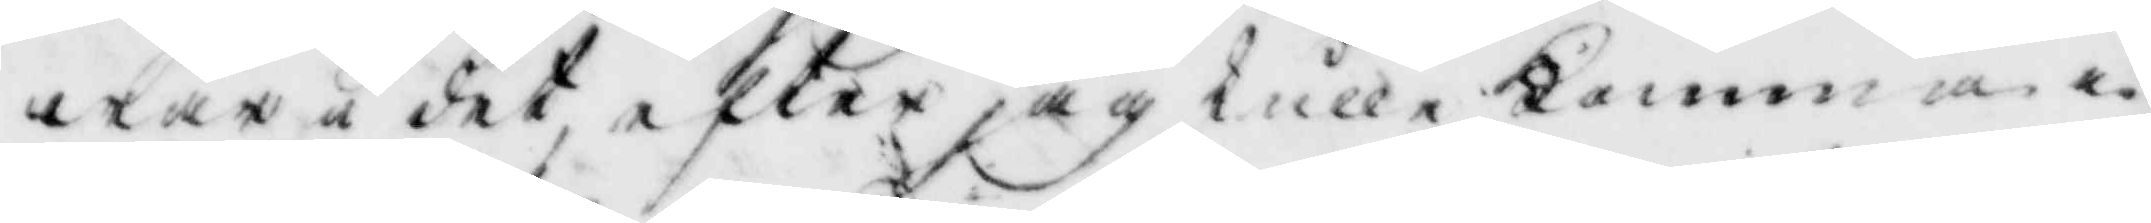wara i det, efter jag skulle komma
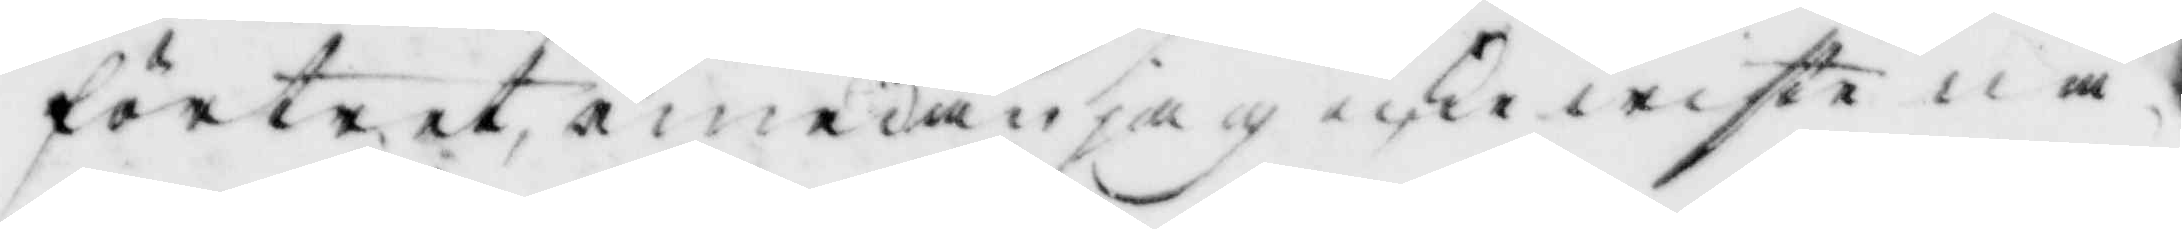förtret emedan jag icke wiste nå¬
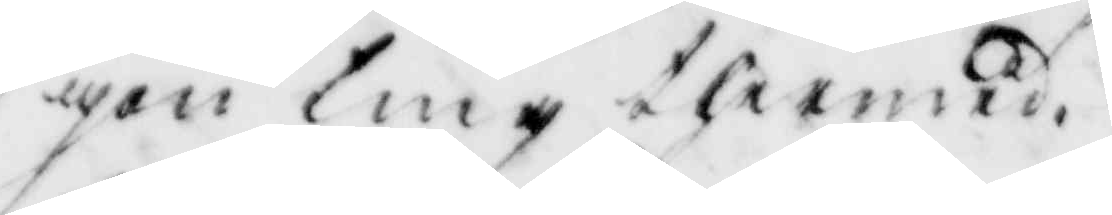gon ting thermed.
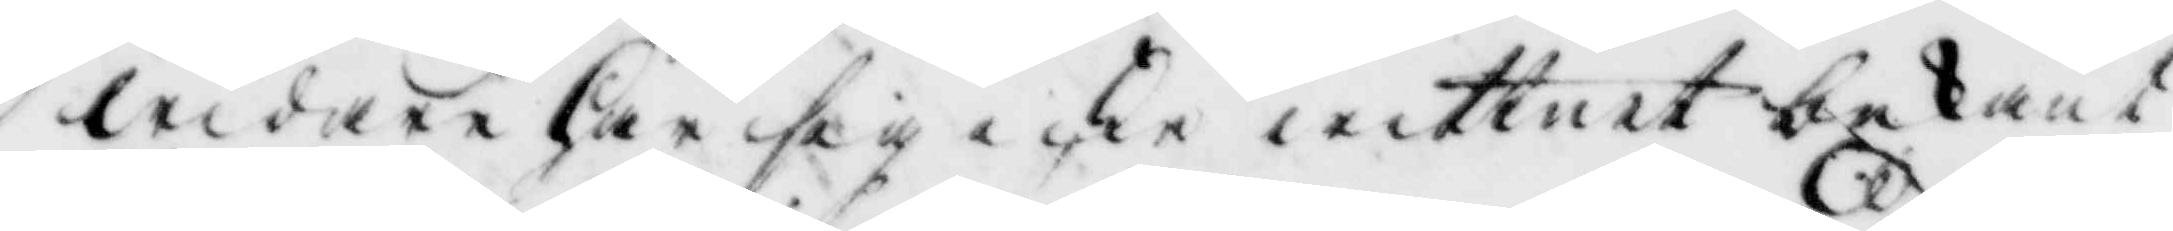widare Har sig icke wittnet bekant
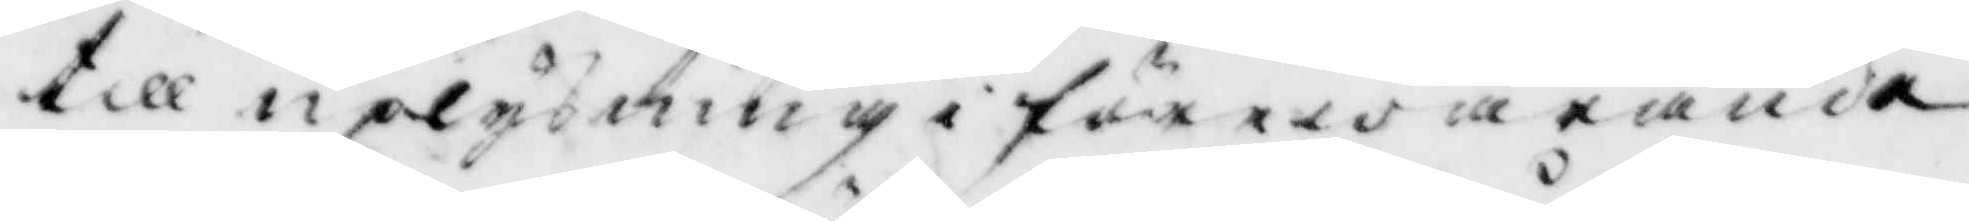till uplysning i förewarande
